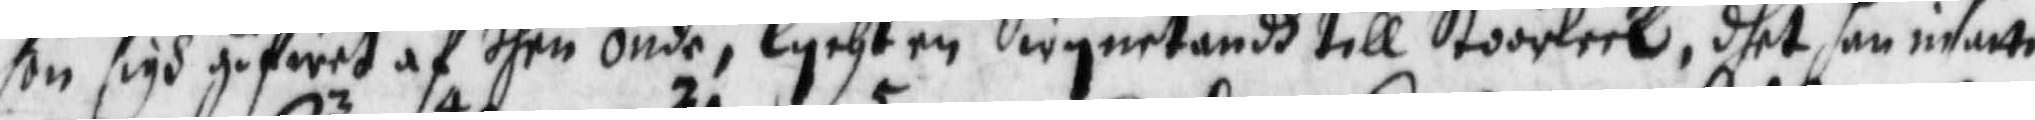hon sigh gifwet af then onde lychten Swynetandh till Stoorleek, dhet han insatte
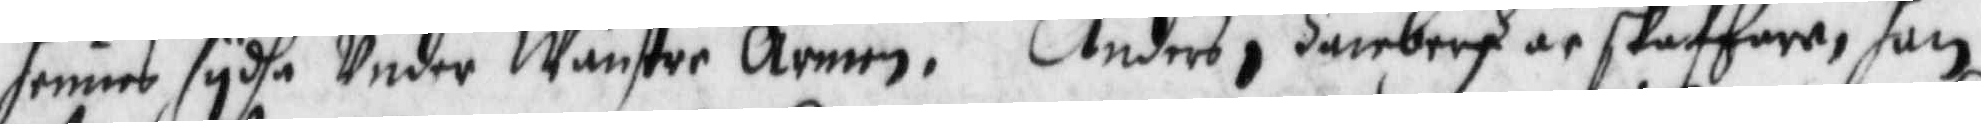i hennes sydha Under Wänster Armen. Anders i Hanebergh är skafhera, ahn
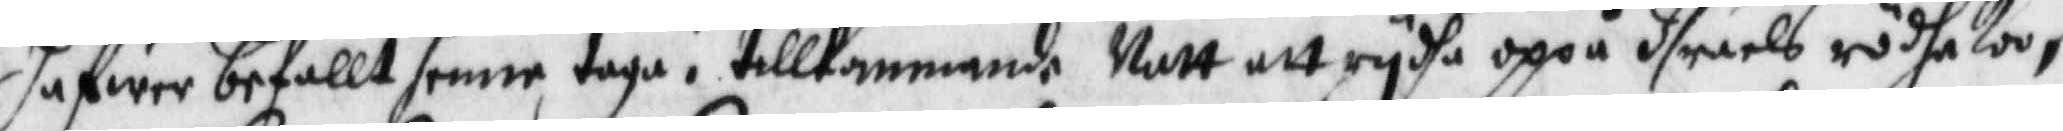hafwer befallt henne taga i tillkommande Natt att rydha oppå Israels rödha Koo,
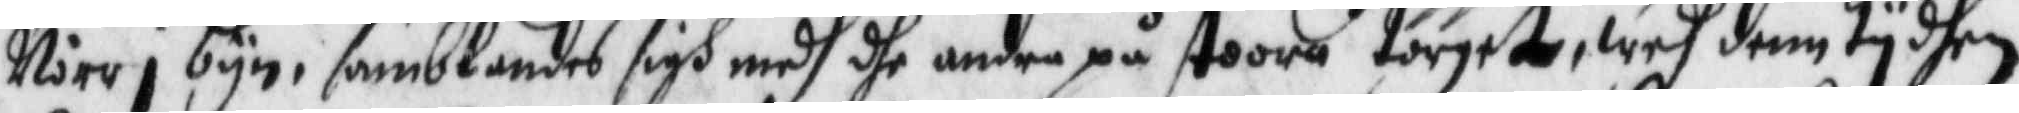Nåre i byn, samblandes sugh medh dhe andra på stoora torget, wedh denn tydhen
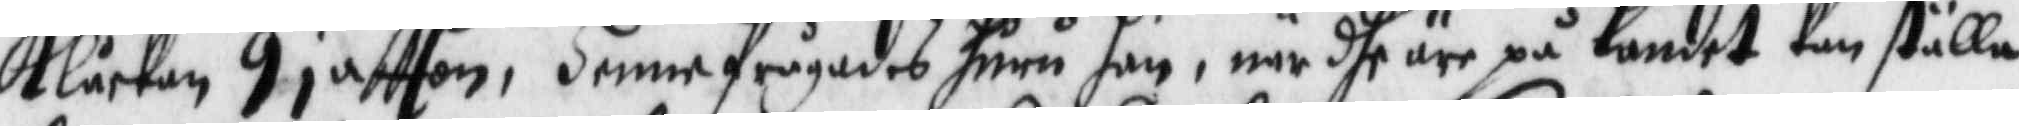Klåckan 9 i aftton, henne frågades huru hon, när dhe äre på landet kan ställe
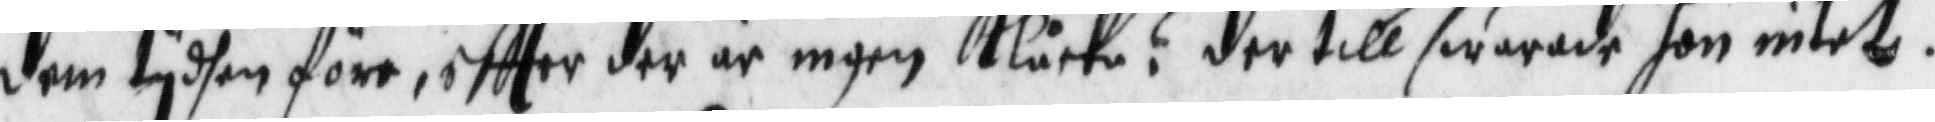denn tydhen före, eftter der är ingen Klåcka? der till swarade hon intet.
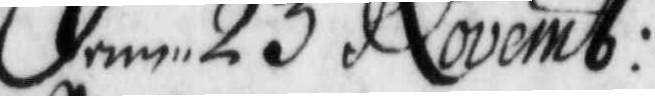Denn 23 Novemb:
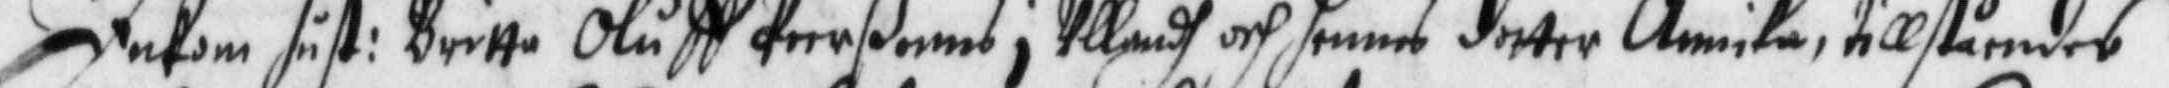Inkom hust: Britta Oluff Peerßonns i Ullandh och hennens dotter Annika, tillståendes
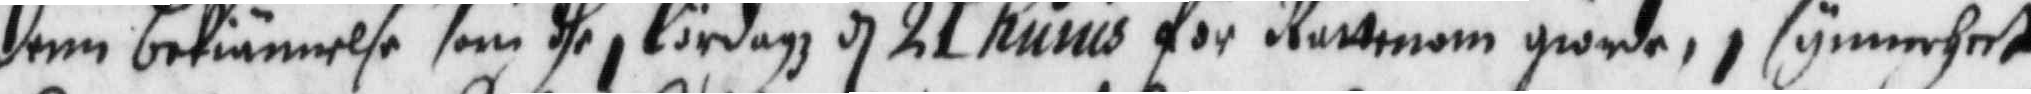denn bekiännelse som dhe i lördagz d. 21 huius för Rättenom giorde, i synnerhet
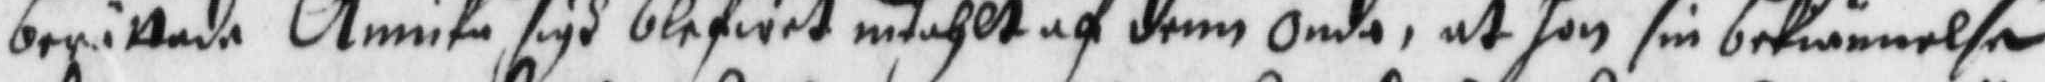berättade Annika sigh blifwit intahlt af denn onde, at hon sin bekiännelse
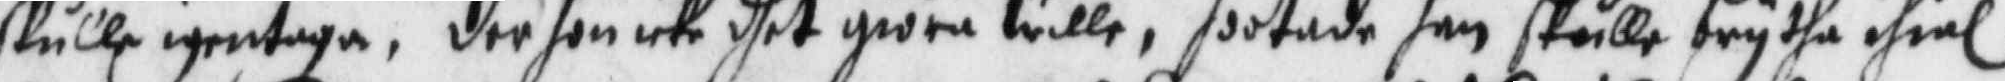skulle igentaga, der hon icke giöra wille, hootade han skulle brytha ihiäl
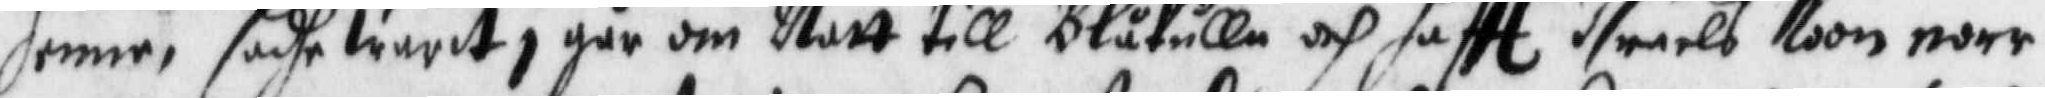henne, sadhe warit i går om Natt till Blåkulla och haftt Israels Koon norr
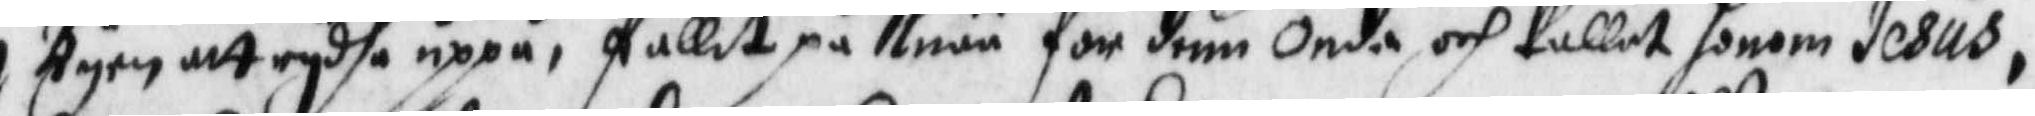i Byen att rydha uoppå, fallit på Knää för denn onda och kallat honom Jesus,
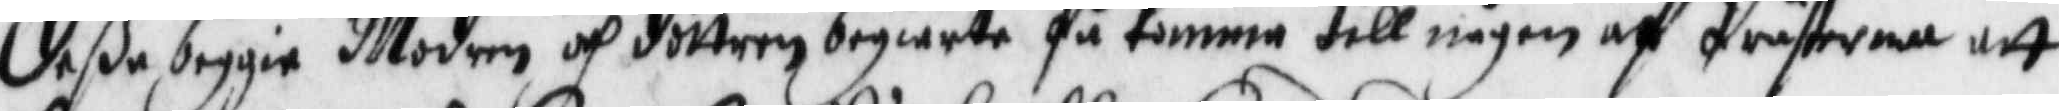deße beggie Modren och fdottren begiärte få komma till någon af Prästerna att
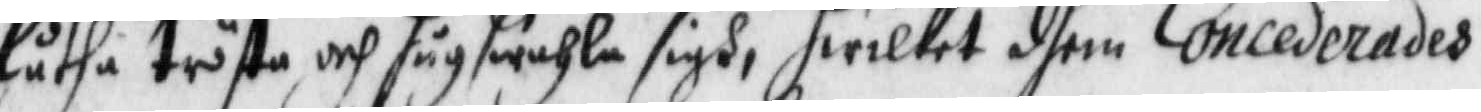låtha trösta och hugswahla sigh, hwilket dhem Concederades.
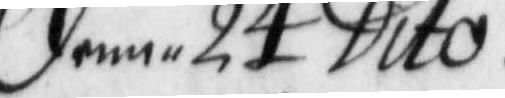denn 24 Dito.
